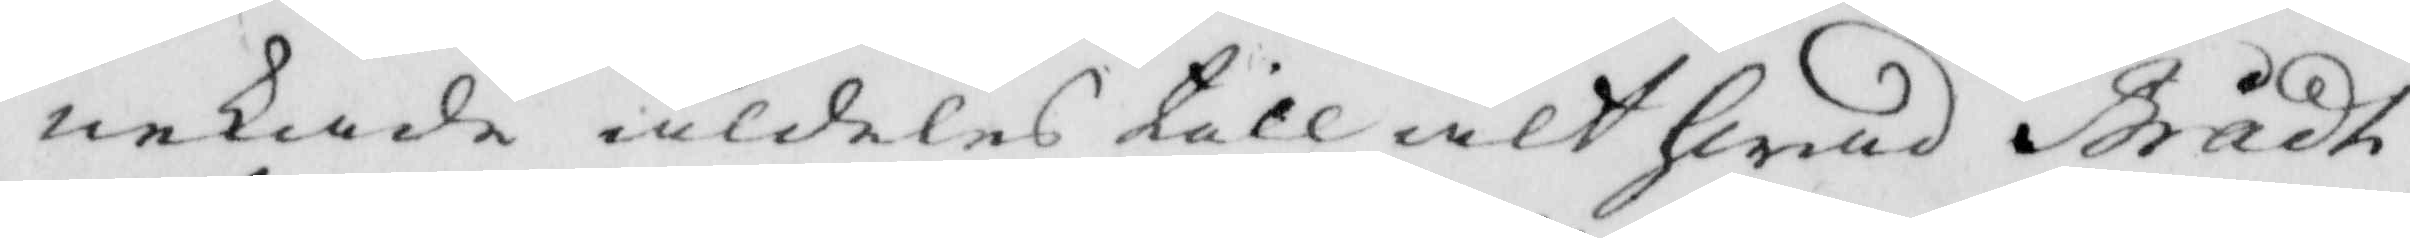nekade aldeles till alt hwad Brådt
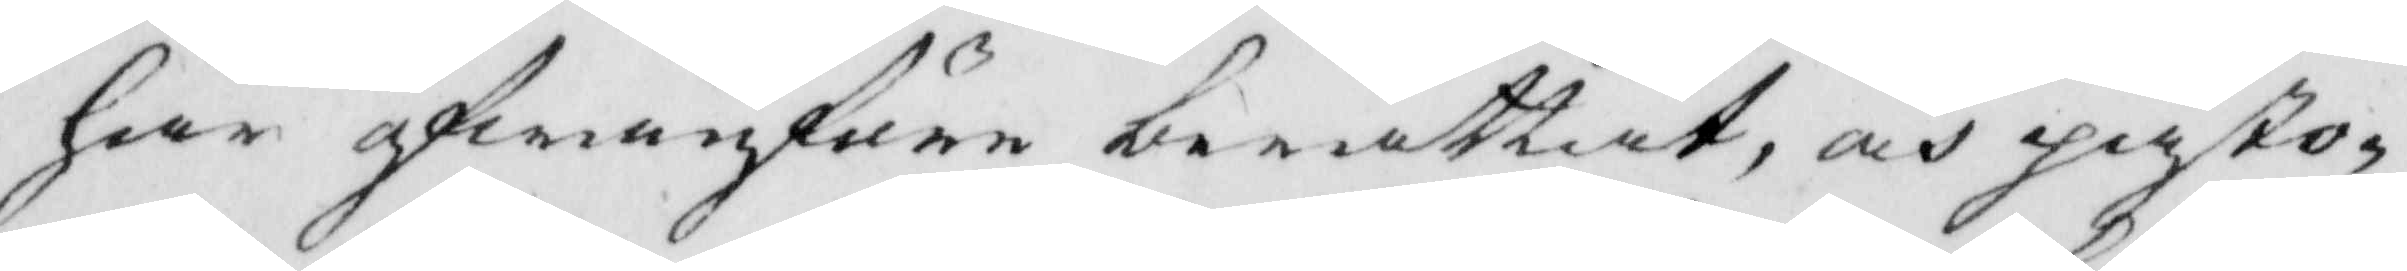här ofwanföre berättiat, och påsto¬
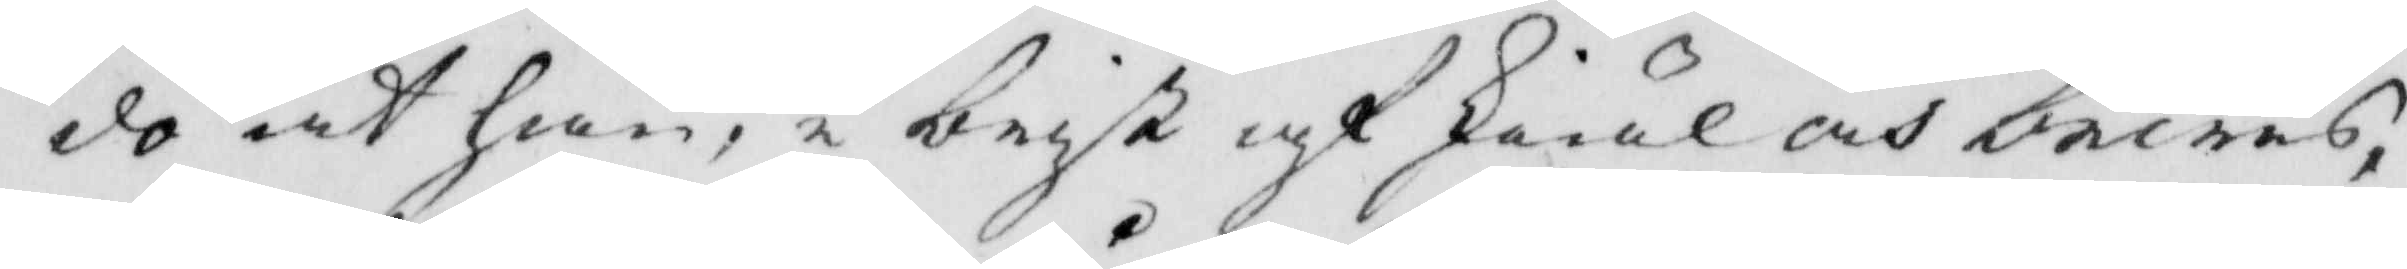do at han,i brist af skiäl och bewis,
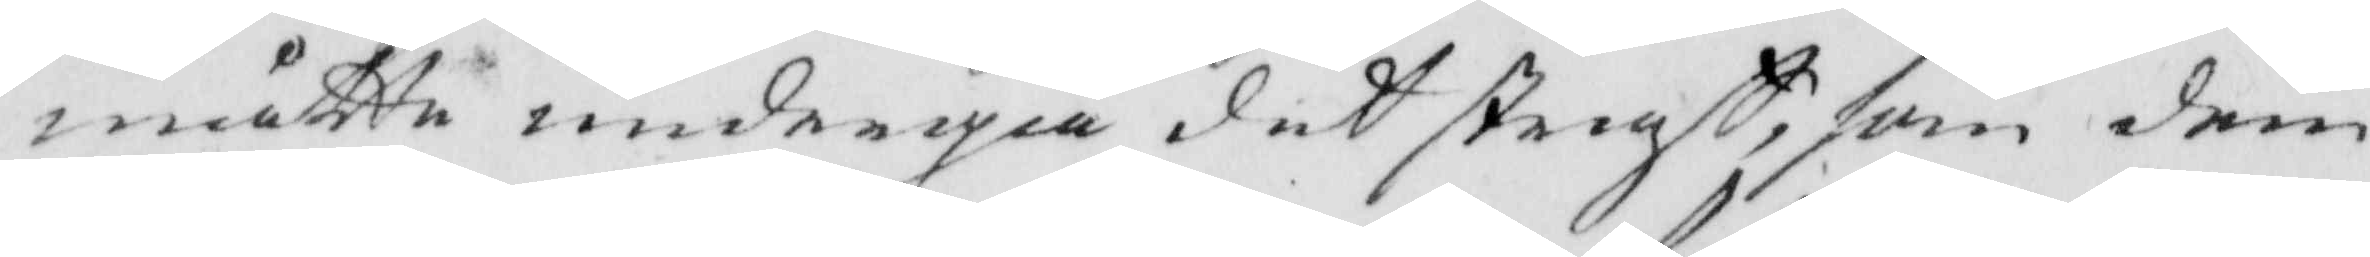måtte undergå det staff, som dem
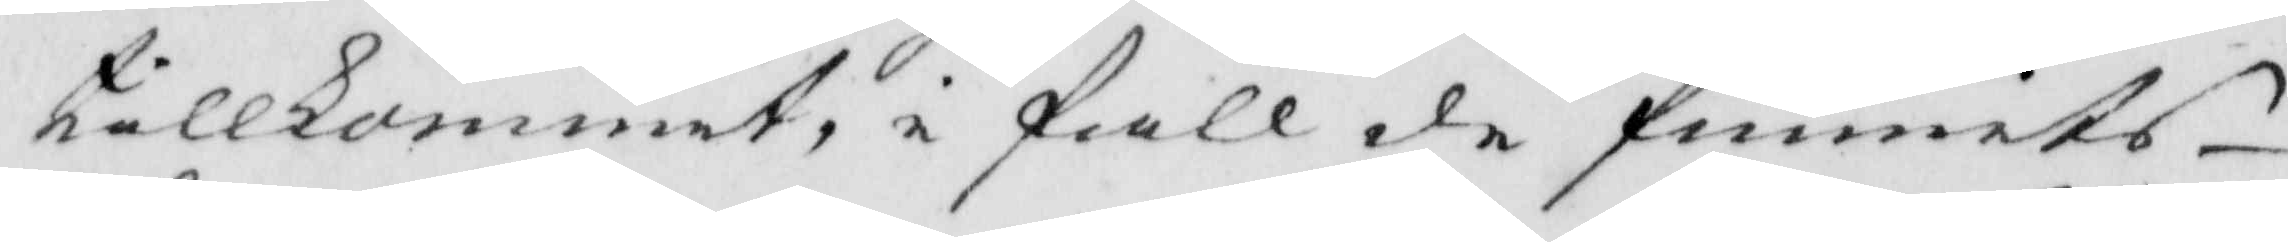tillkommit, i fall de funnits
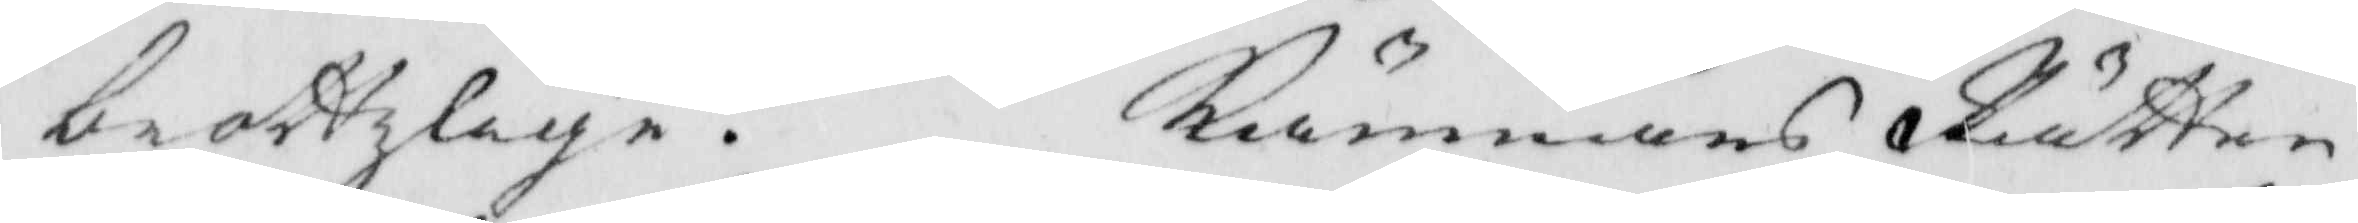brottzlige. Kämnärs Rätten
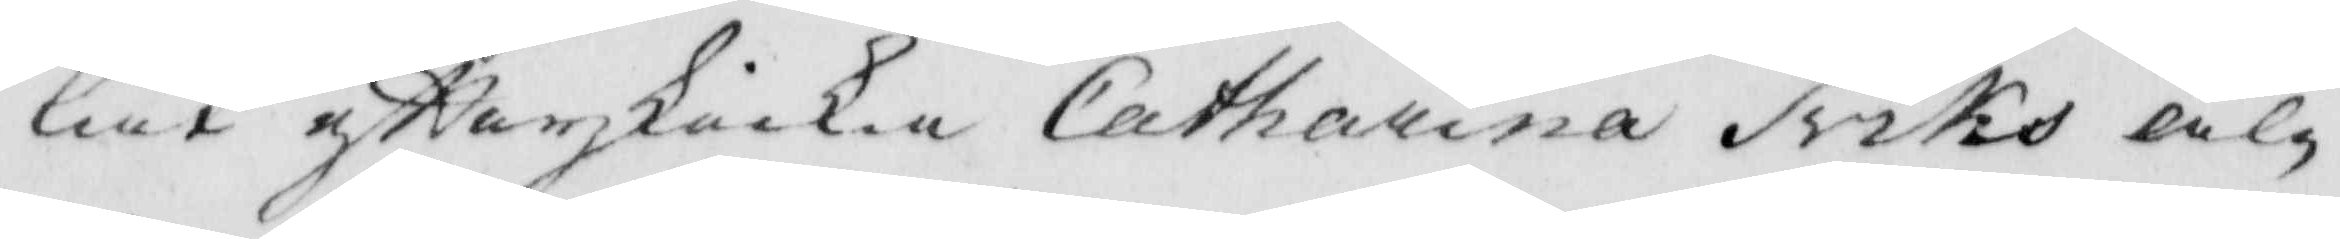lät efterskickia Catharina Friks äl¬
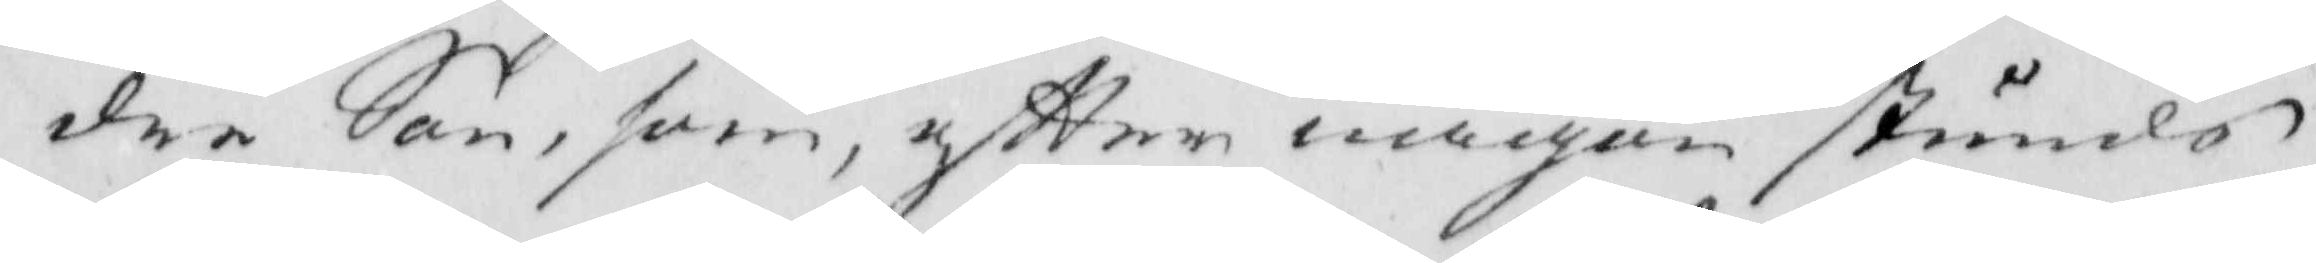dre Son, som, eftter någon stunds
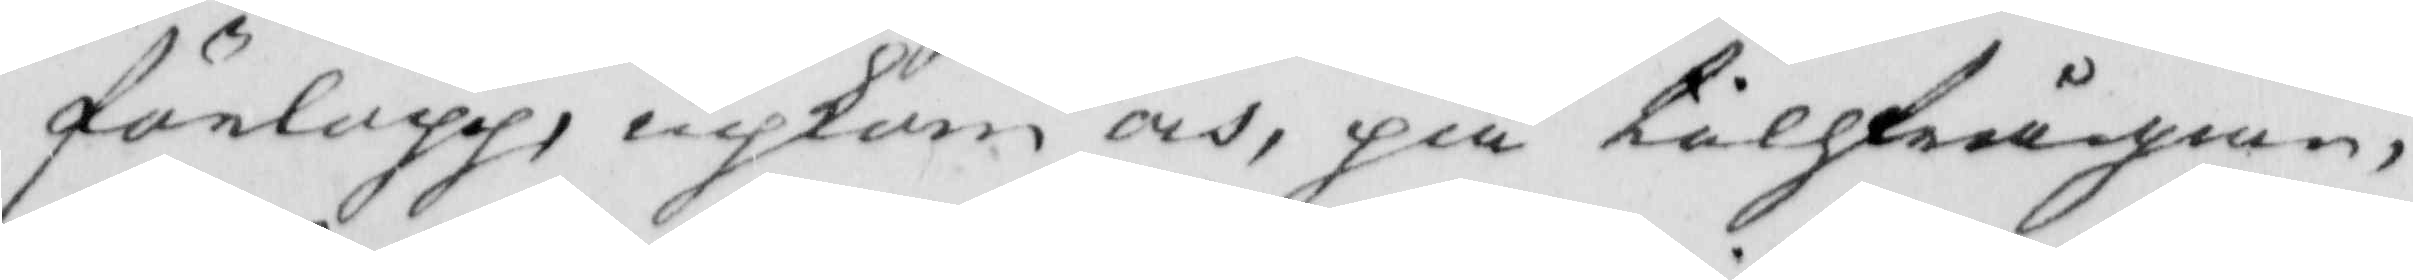förlopp, inkom och, påå tillfrågian,
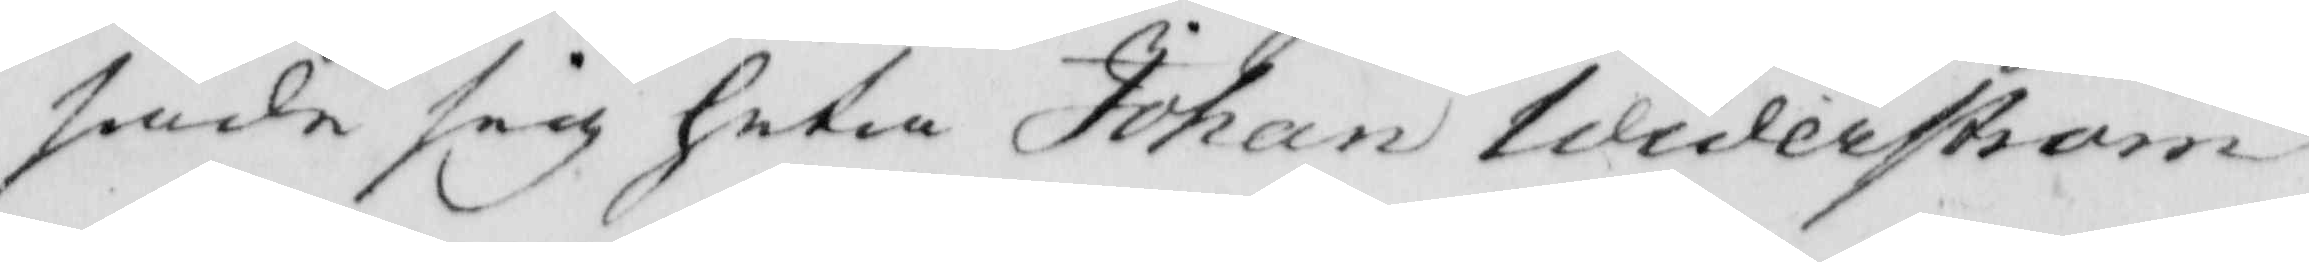sade sig heta Johan Widerström
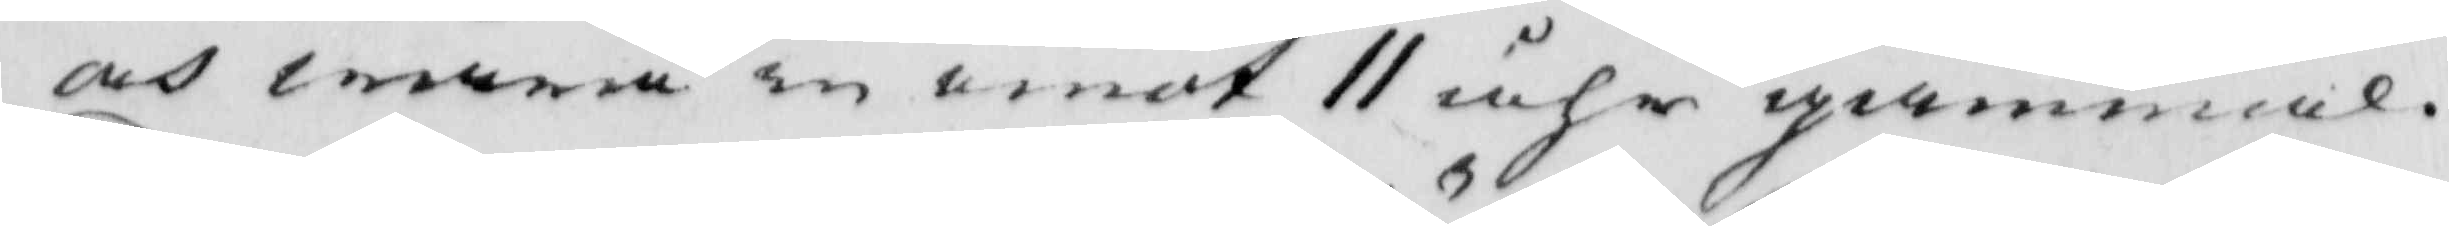och wara in emot 11 åhr gammal.
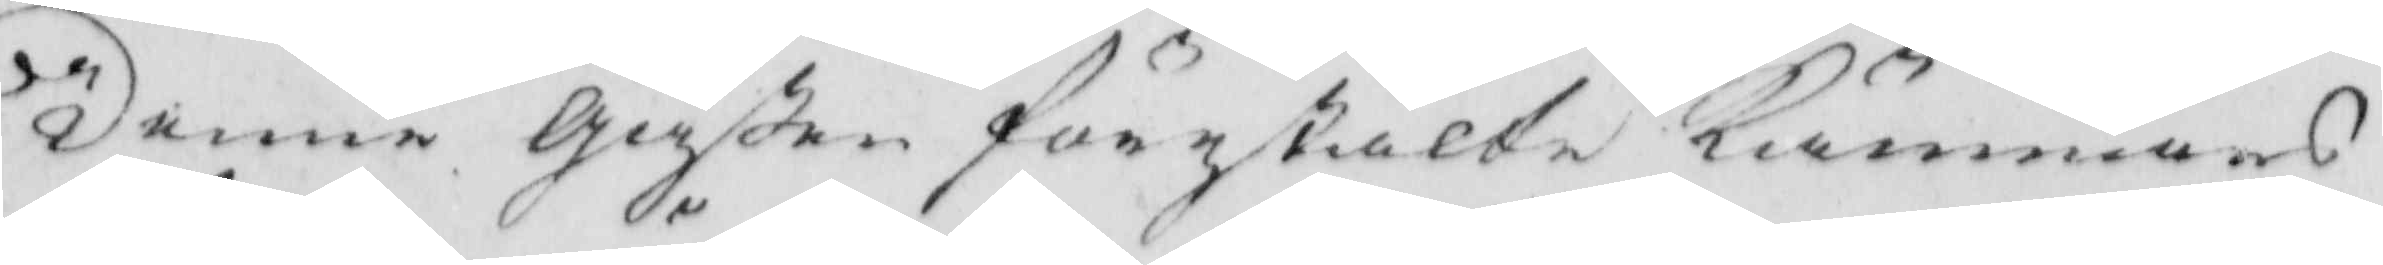Denne gåßen förestälte Kämnärs
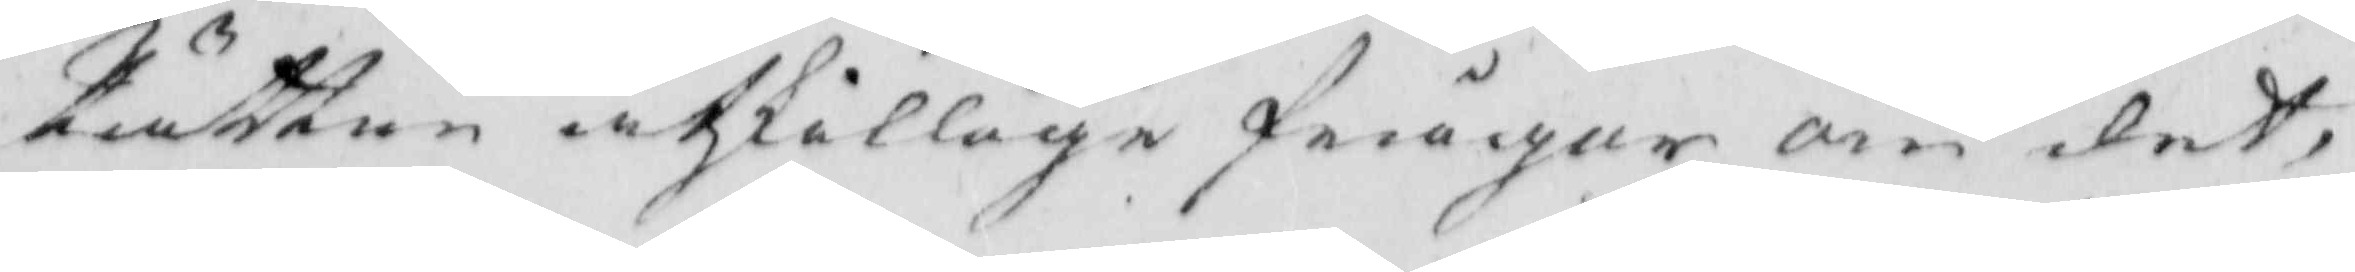Rätten åtskillige frågar om det,
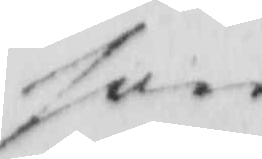som
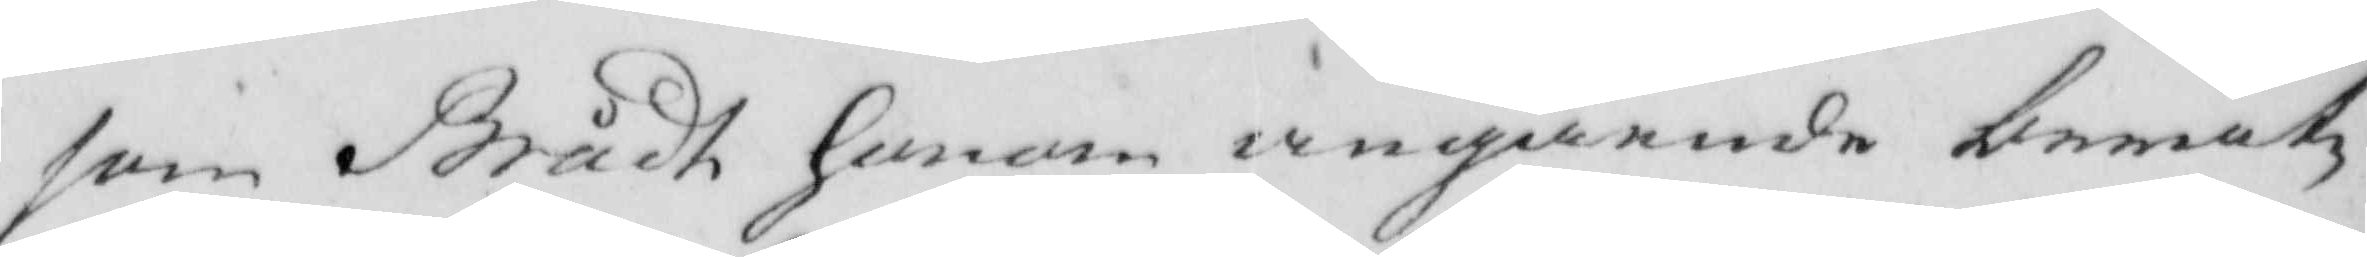som Brådt honom angående berät¬
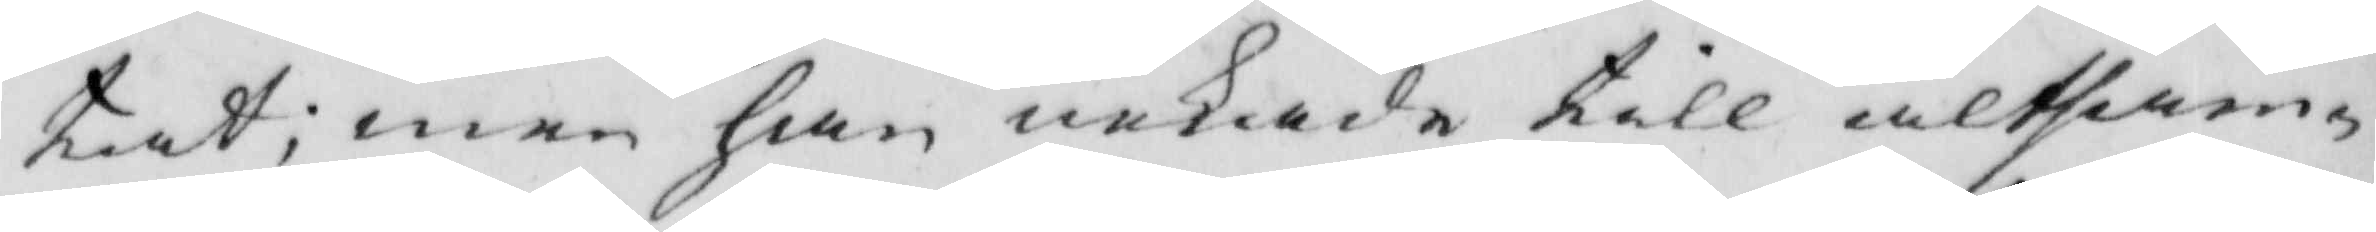tiat; men han nekade till altsam¬
